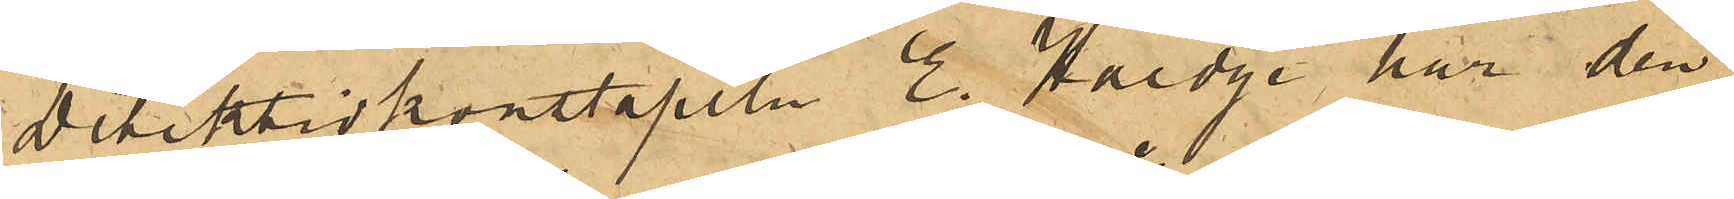Detektivkonstapeln E. Haedge har den
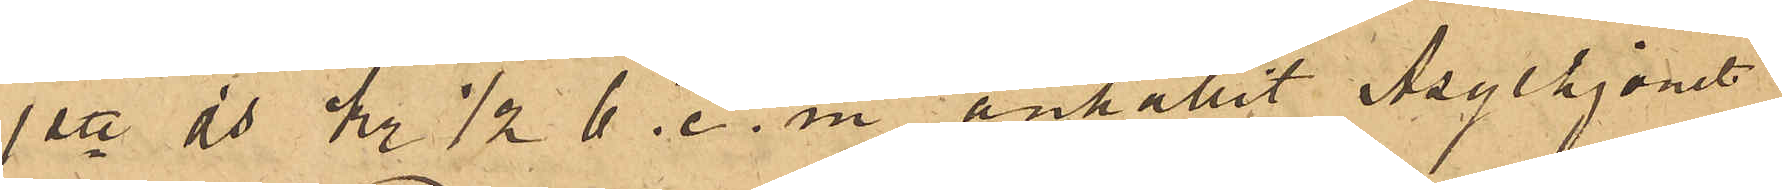1ste ds kl 1/2 6. e.m. anhållit Asylhjonet
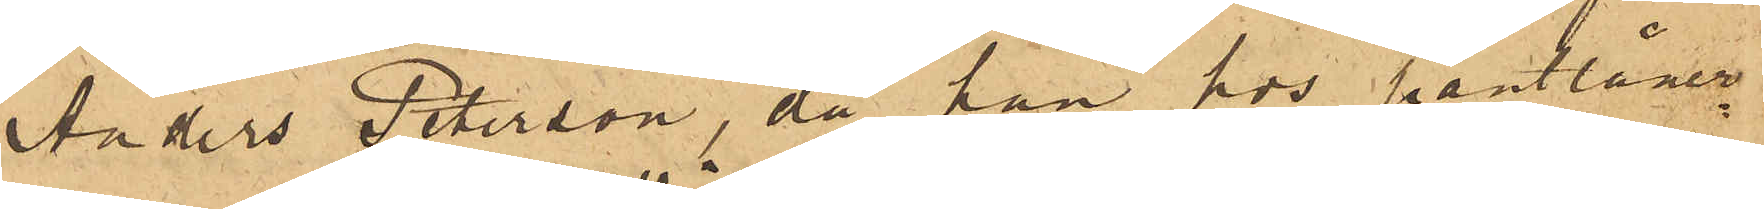Anders Peterson, då han hos pantlåner¬
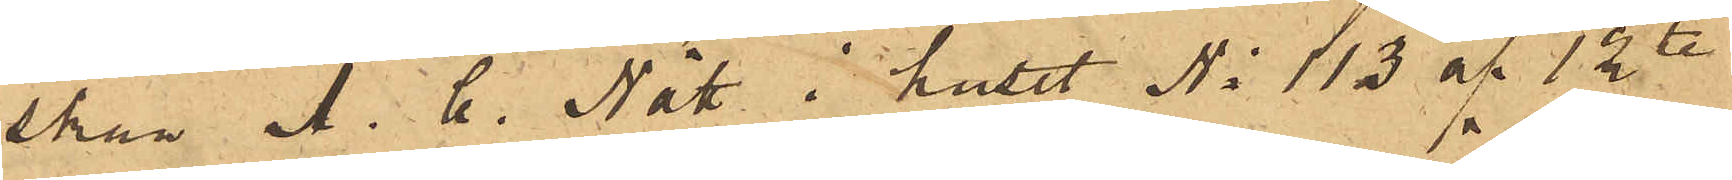skan A. C. Nätt i huset No 113 af 12te
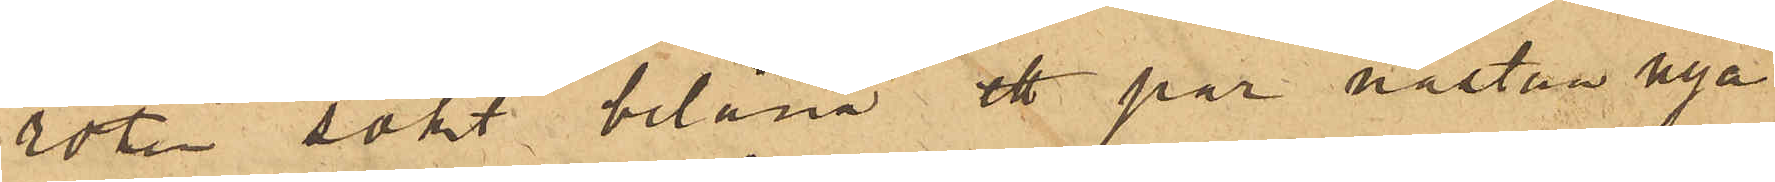roten sökt belåna ett par nästan nya
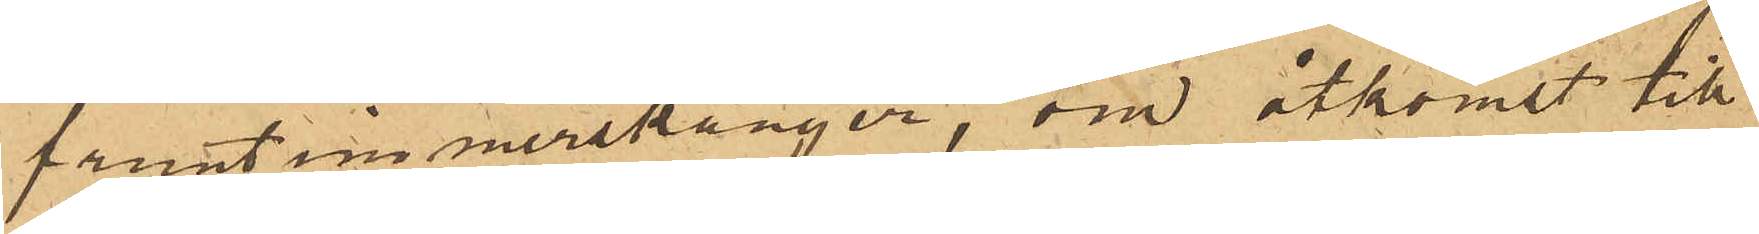fruntimmerskänger, om åtkomst till
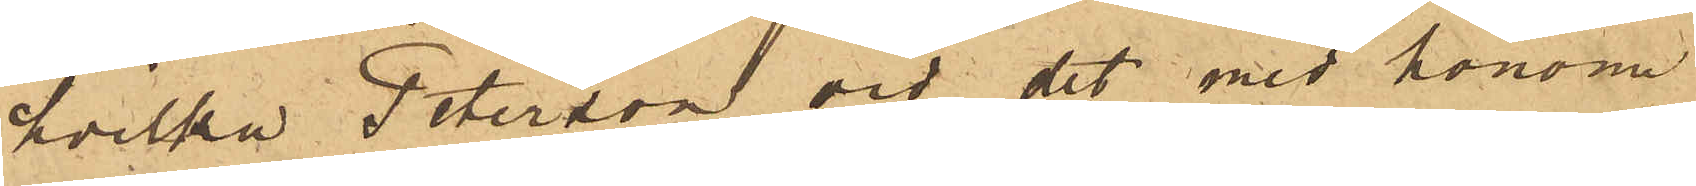hvilka Peterson vid det med honom
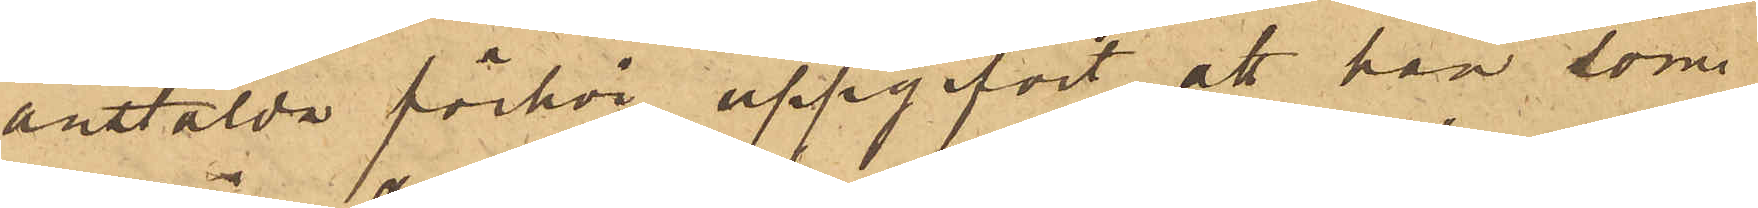anstälda förhör uppgifvit, att han som
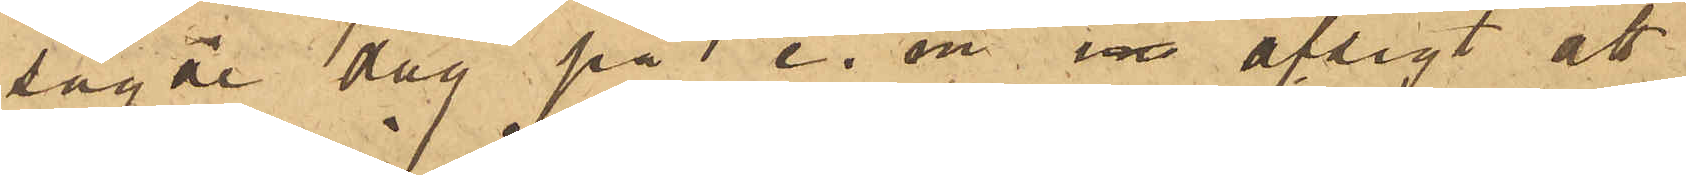sagde dag på e. m. i afsigt att
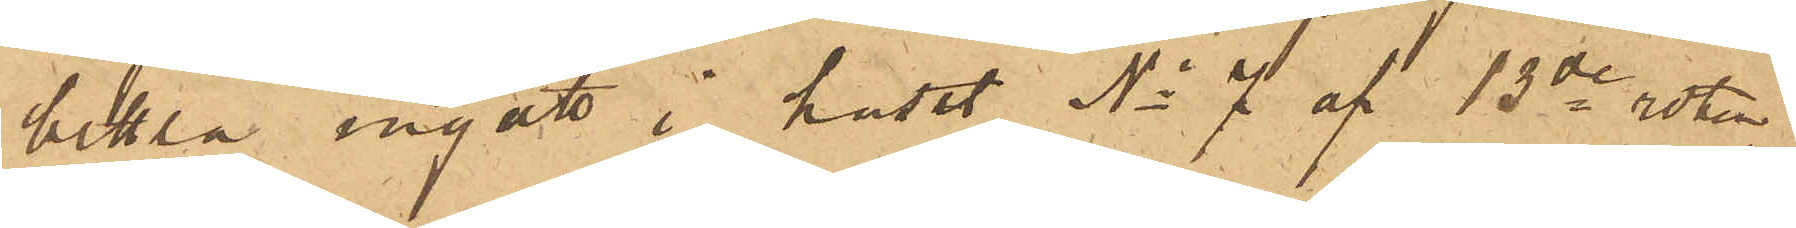bettla ingått i huset No 7 af 13de roten,
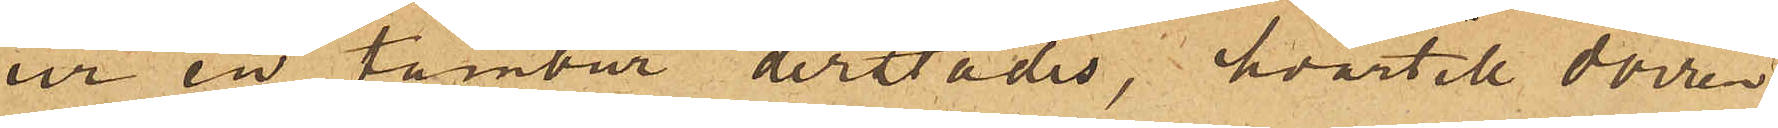ur en tambur derstädes, hvartill dörren
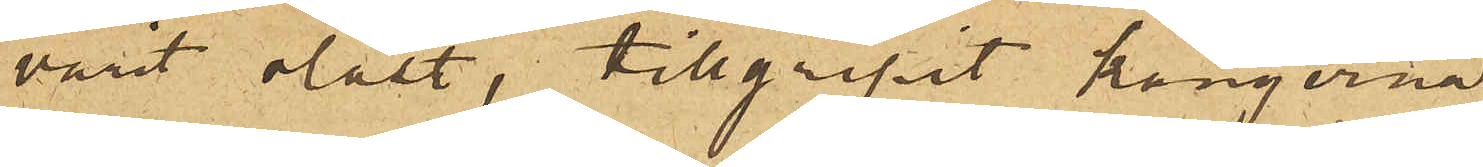varit olåst, tillgripit kängerna.
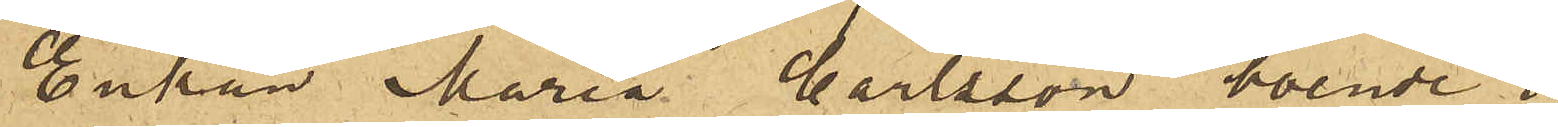Enkan Maria Carlsson boende i
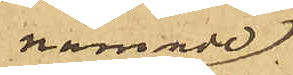nämnde
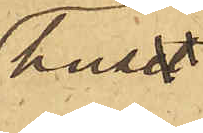huset
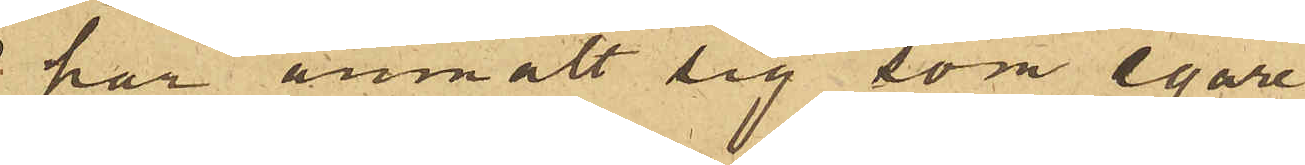har anmält sig som egare
